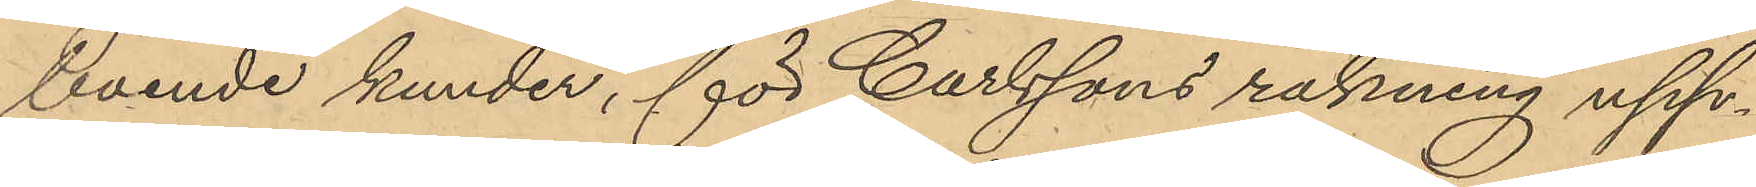boende kunder, för Carlssons räkning upp¬
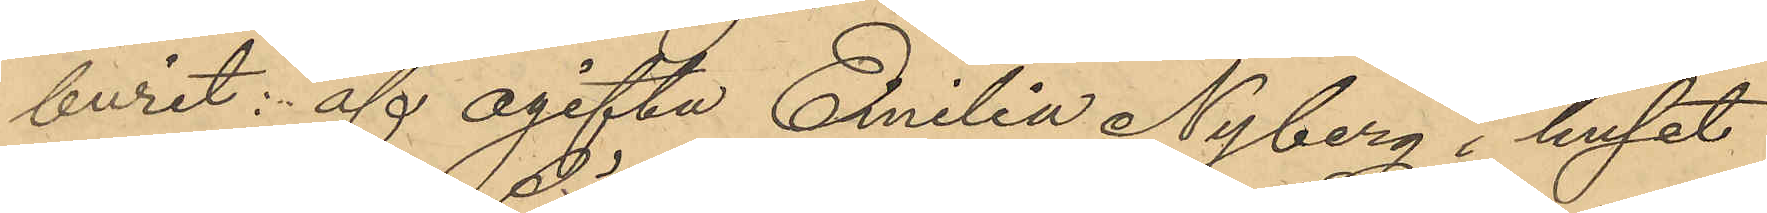burit: af ogifta Emilia Nyberg i huset
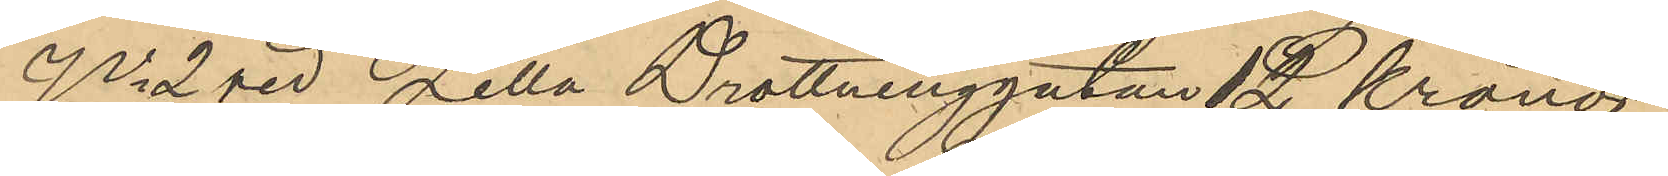No 2 vid Lilla Drottninggatan 12 Kronor
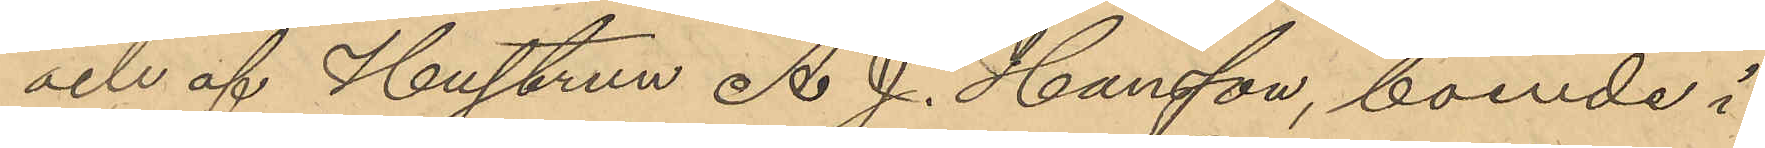och af Hustrun A. J. Hansson, boende i
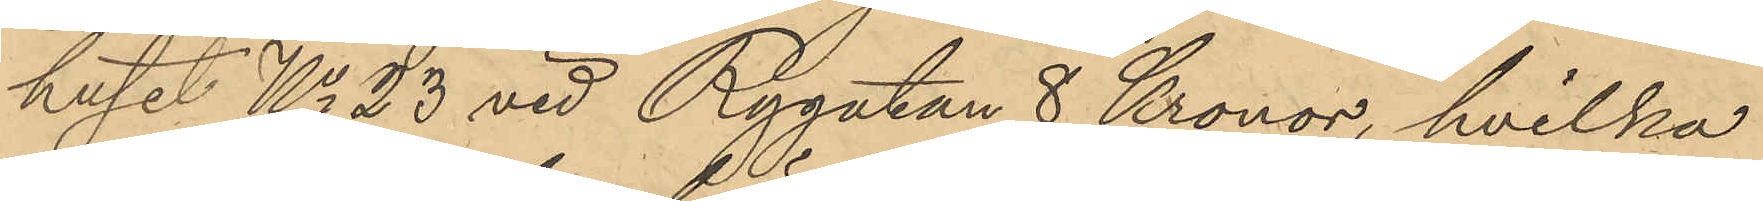huset No 23 vid Rygatan 8 Kronor, hvilka
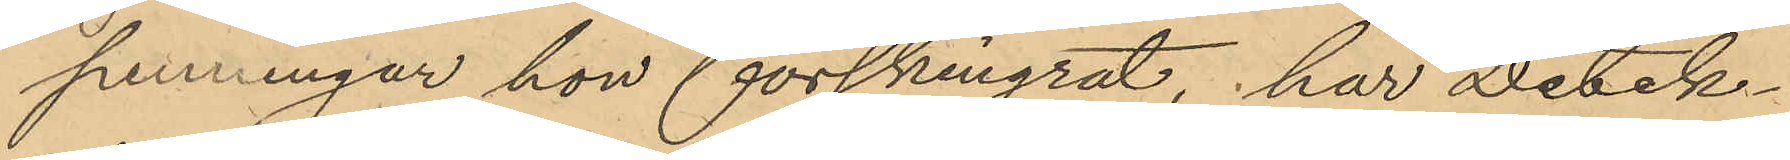penningar hon förskingrat, har Detek¬
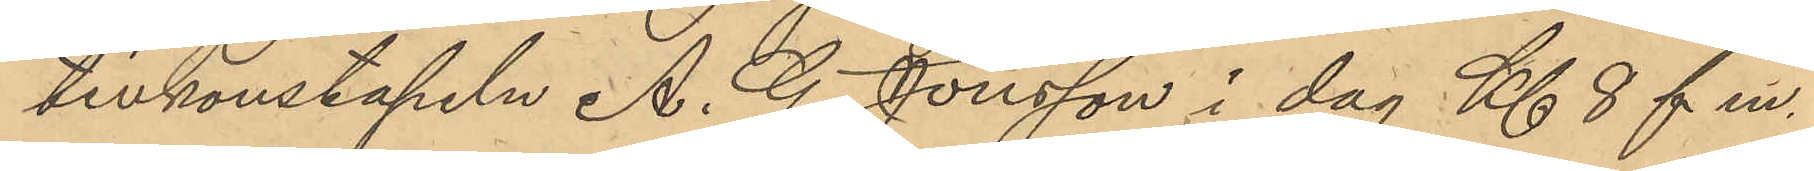tivkonstapeln A. G. Jönsson i dag Kl 8 f. m.
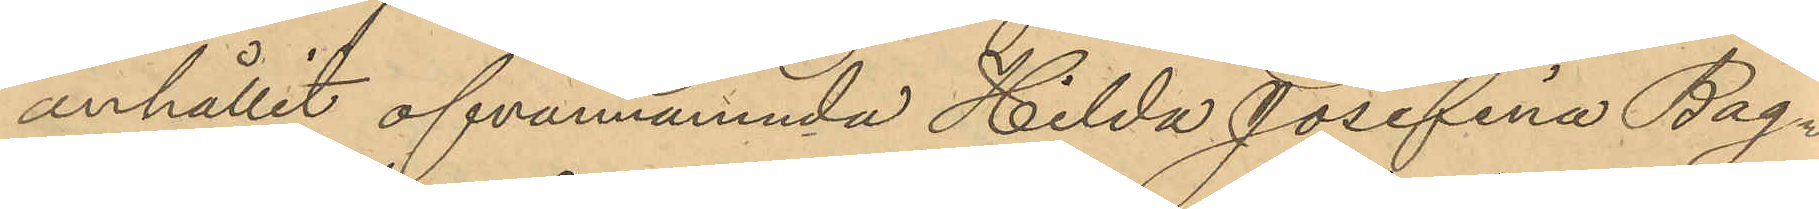anhållit ofvannämnda Hilda Josefina Bag¬
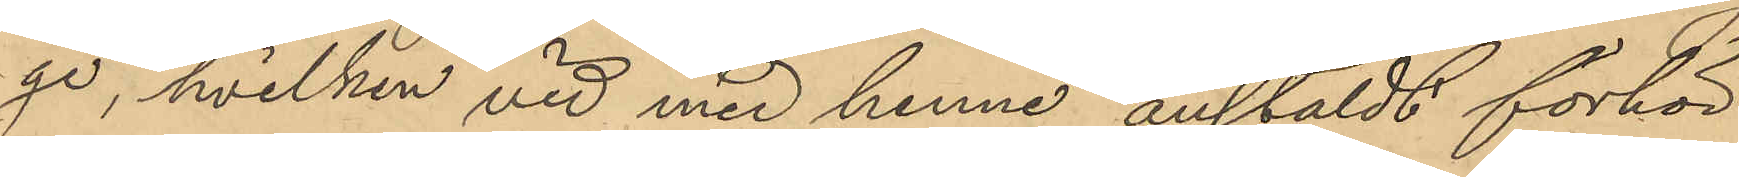ge, hvilken vid med henne anstäldt förhör
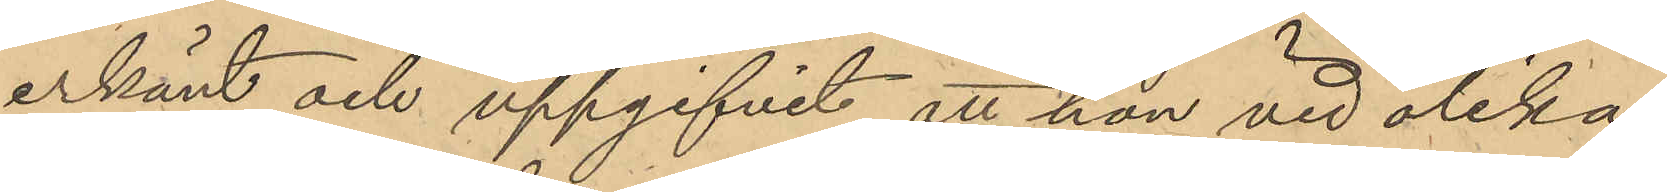erkänt och uppgifvit att hon vid olika
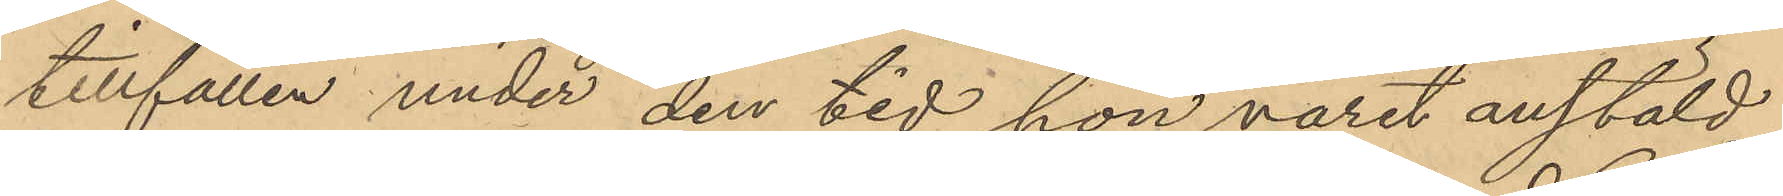tillfällen under den tid hon varit anstäld
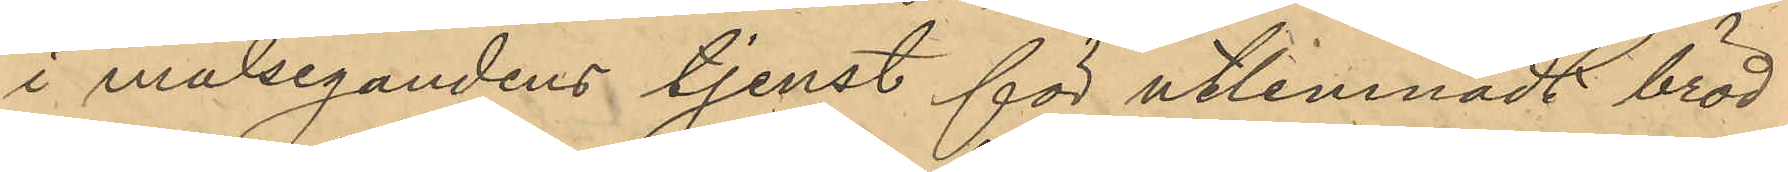i målsegandens tjenst för utlemnadt bröd
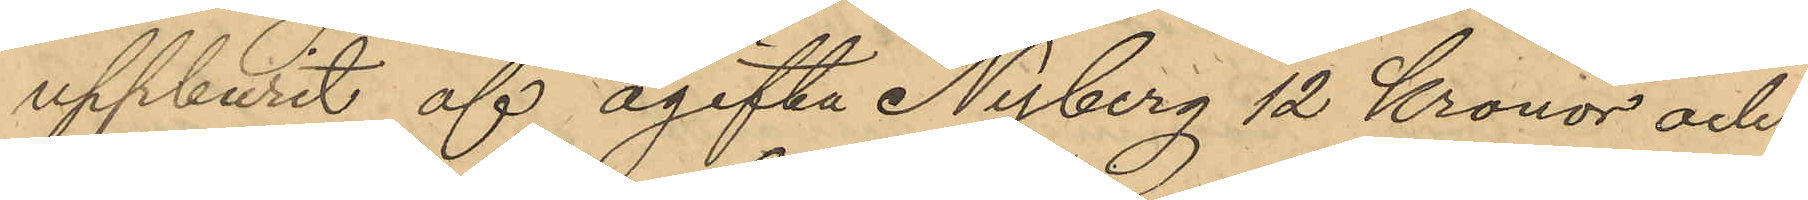uppburit af ogifta Nyberg 12 Kronor och
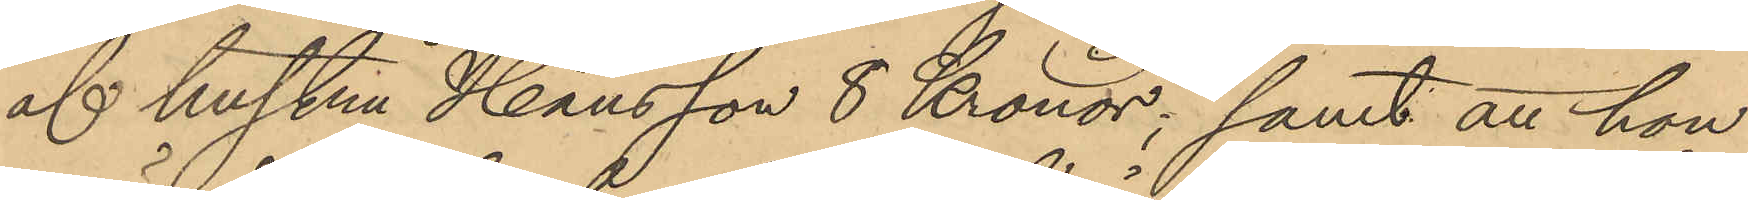af hustru Hansson 8 Kronor; samt att hon
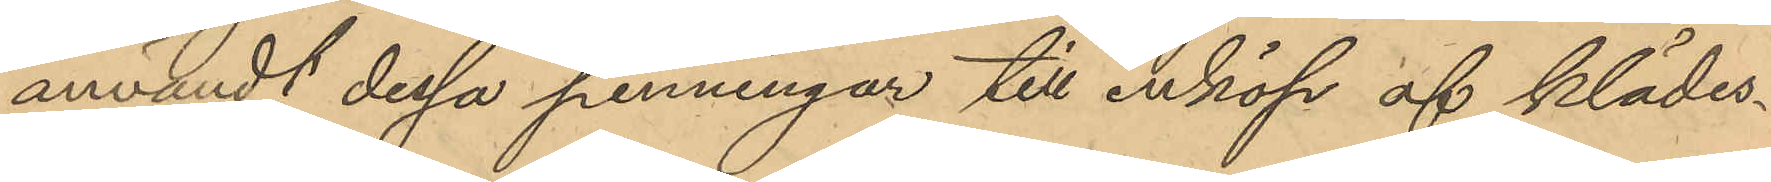användt dessa penningar till inköp af klädes¬
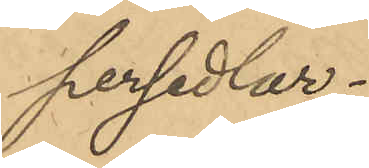persedlar.
